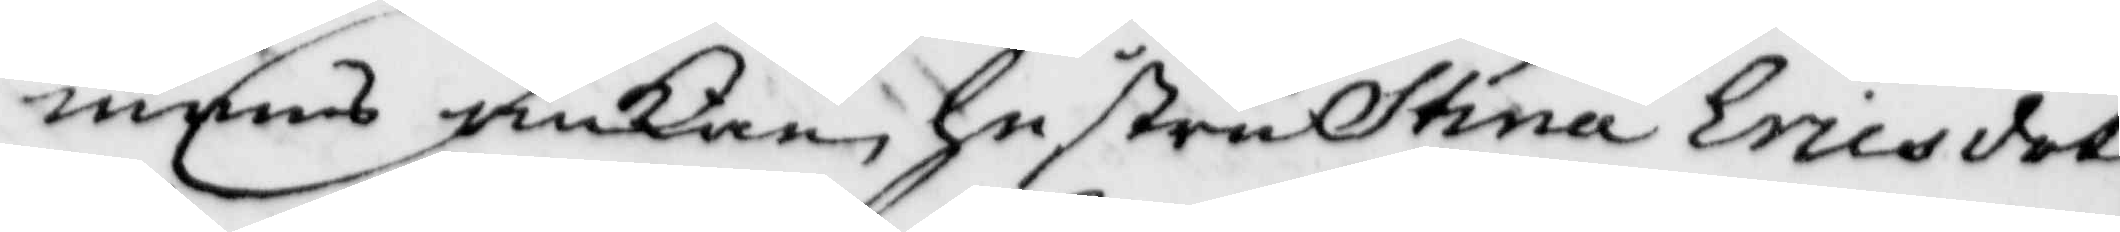mans änkan, hustru Stina Ericsdot¬
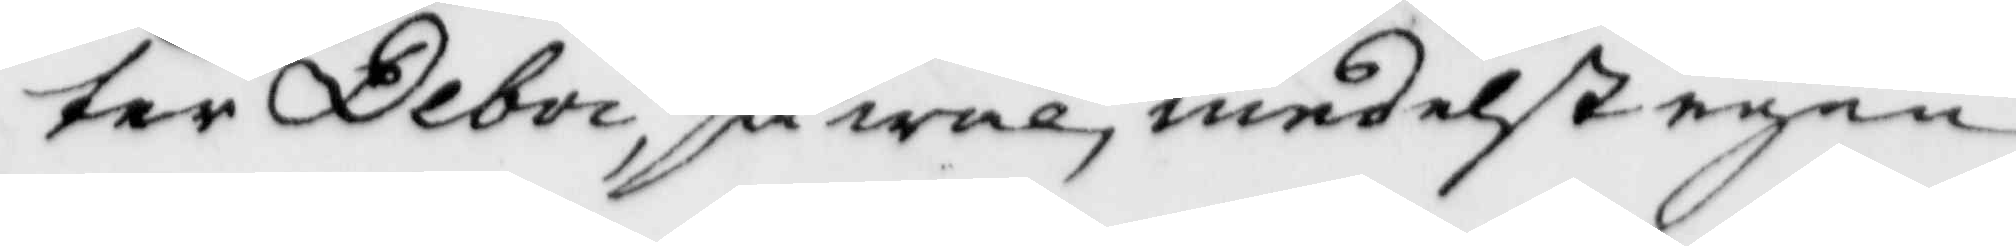ter Deboi, så wäl medest egen
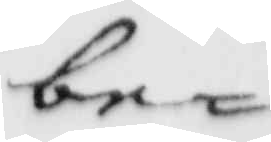be¬
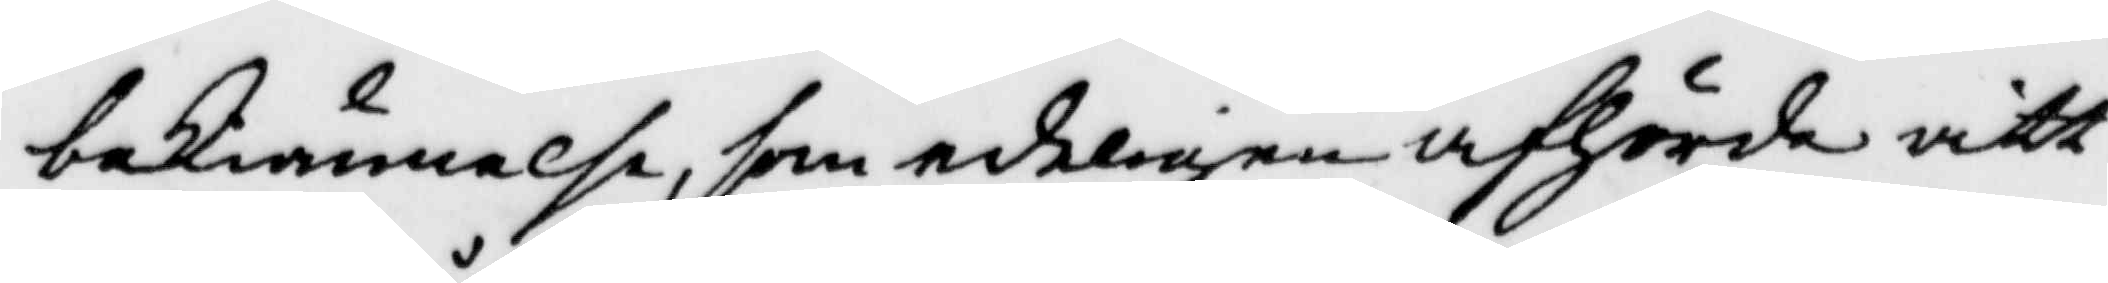beKiännelse, som edeligen afhörde vitt¬
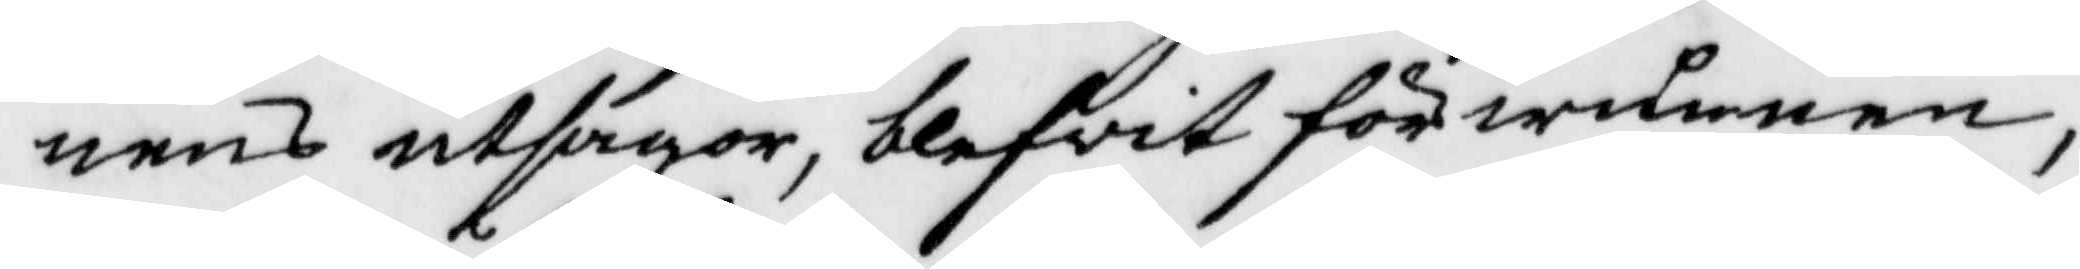nens utsagor, blifvit förwunnen,
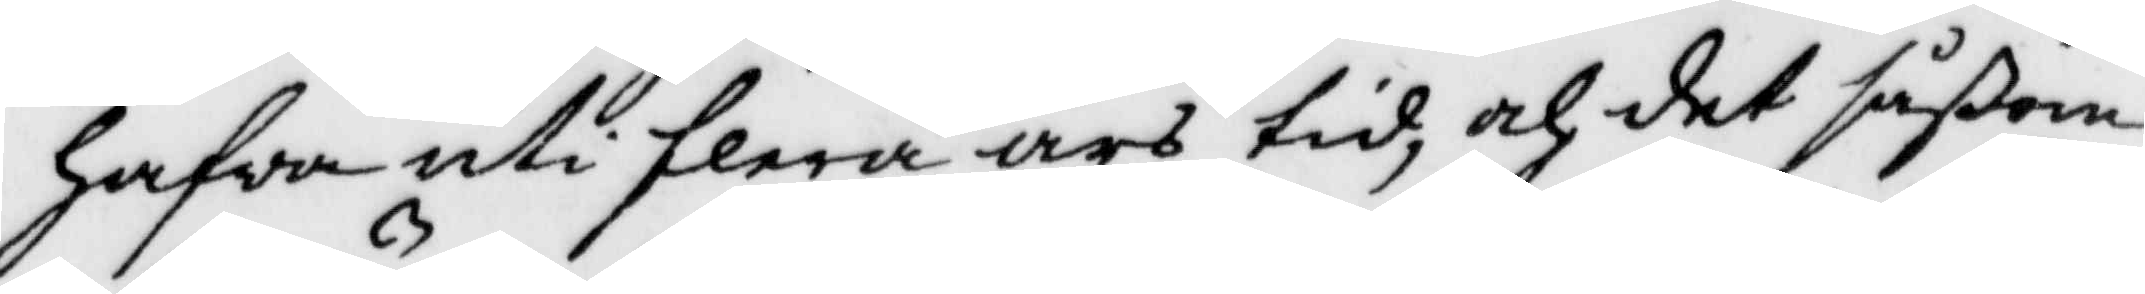hafwa uti flera års tid, och det såßom
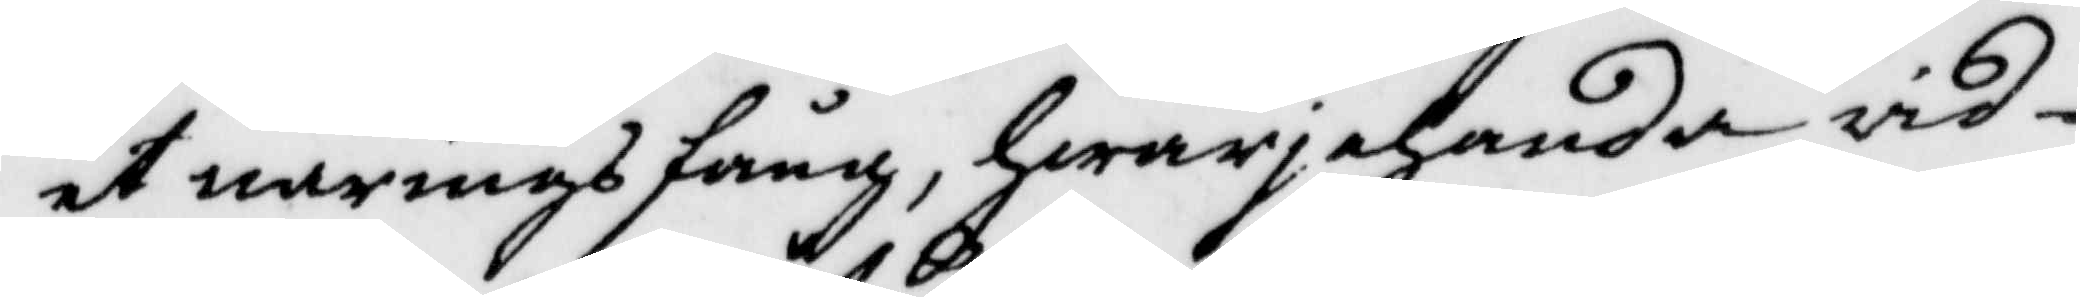et närings fång, hwarjehanda vid¬
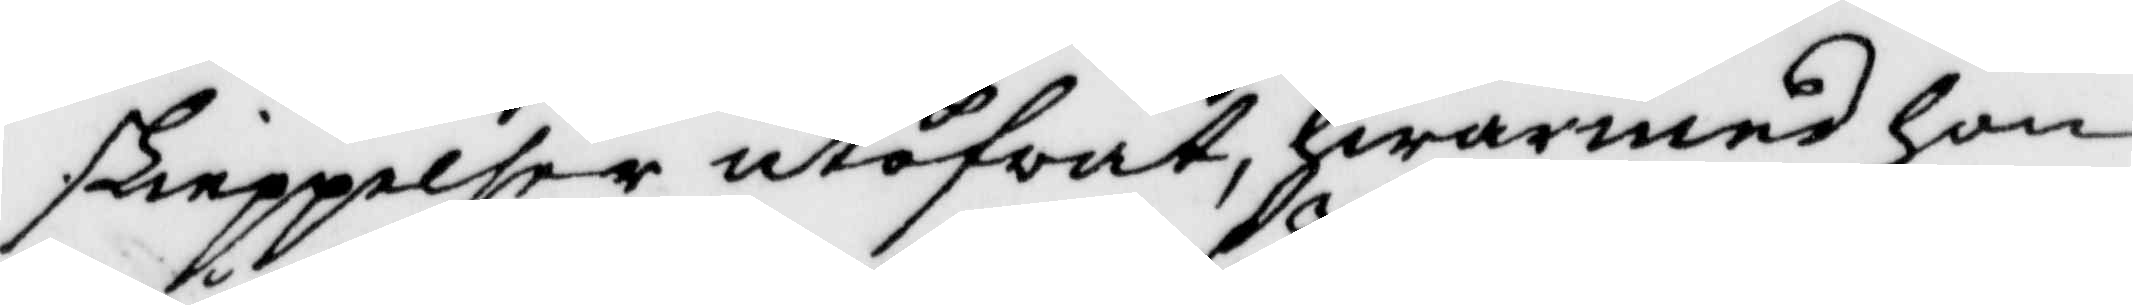skieppelser utöfvat, hwarmed hon
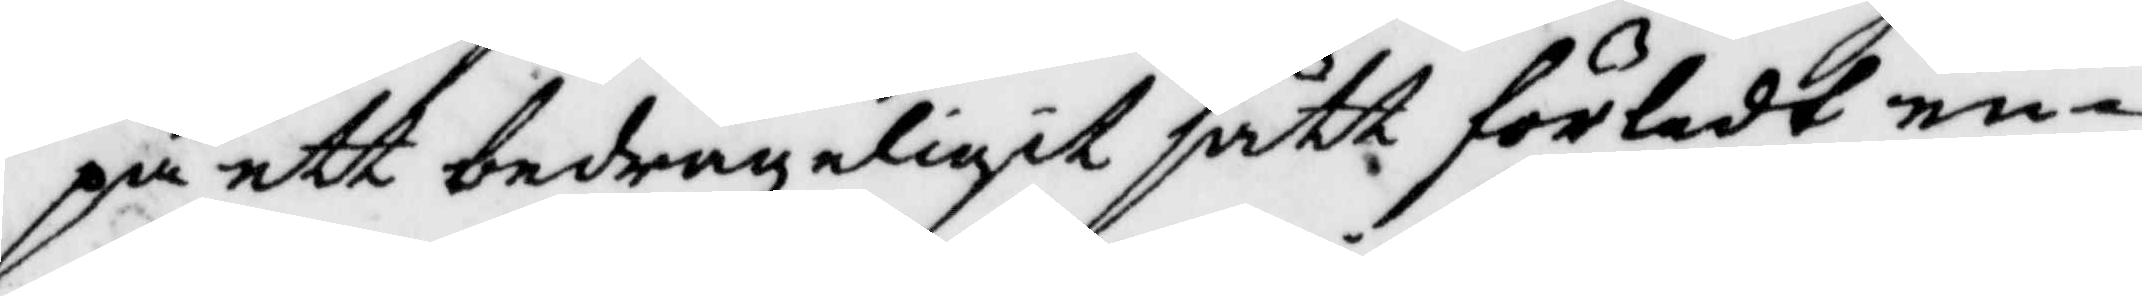på ett bedrägeligit sätt förledt en¬
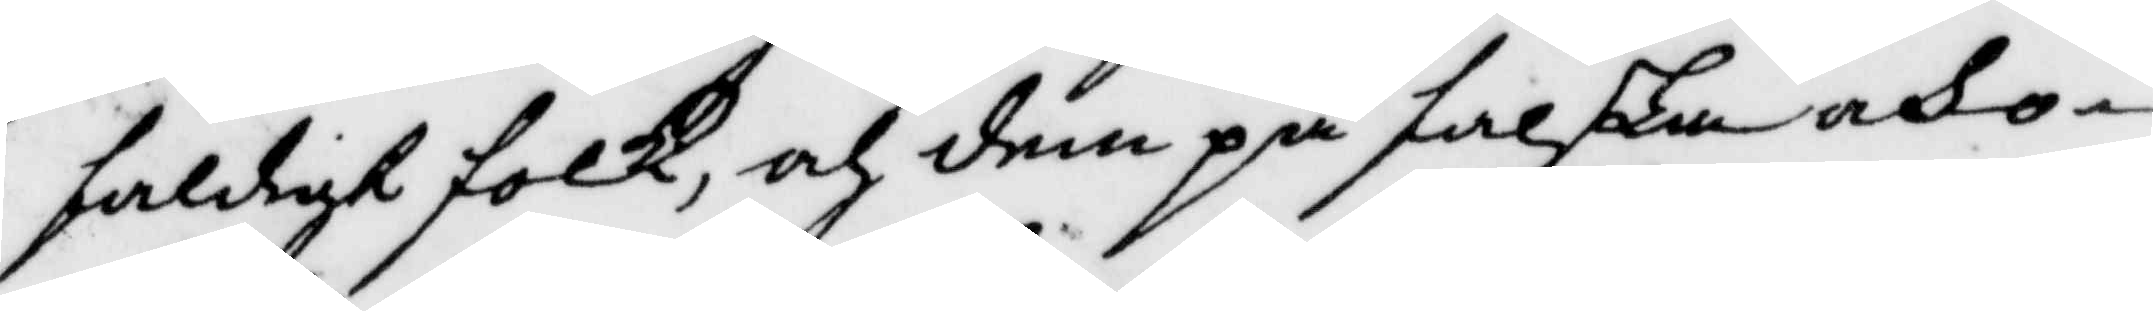faldigt folk, och dem på falska och o¬
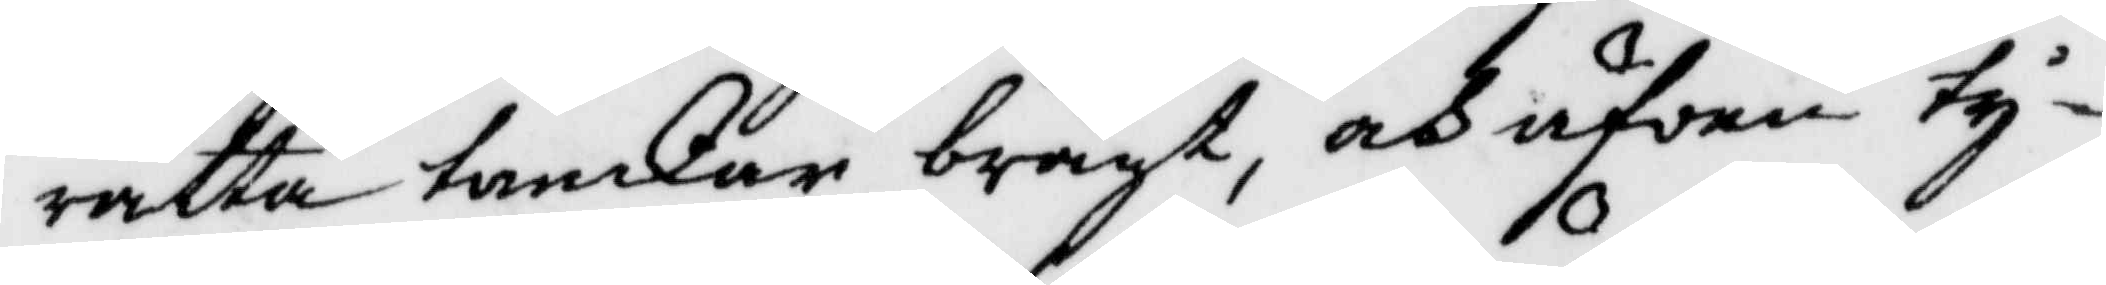rätta tankar bragt, och äfven ty¬
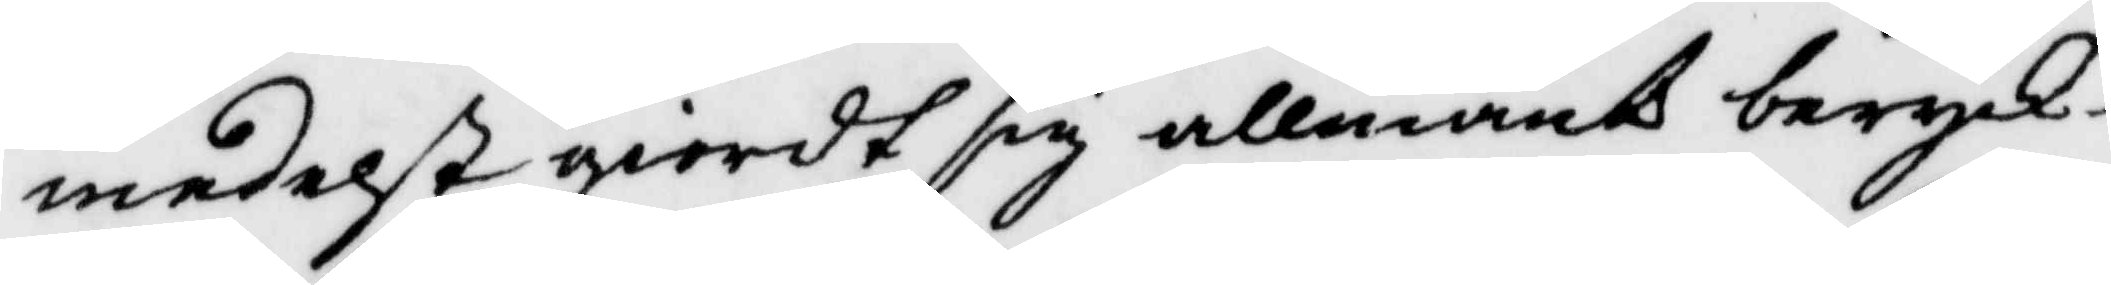medelst giordt sig allmänt beryck¬
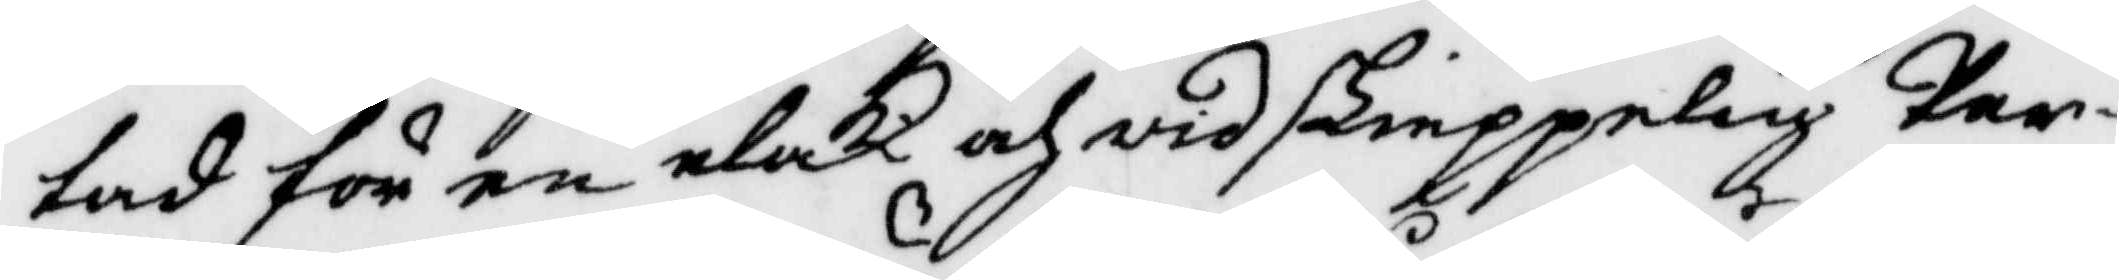tad för en elak och vidskieppelig Per¬
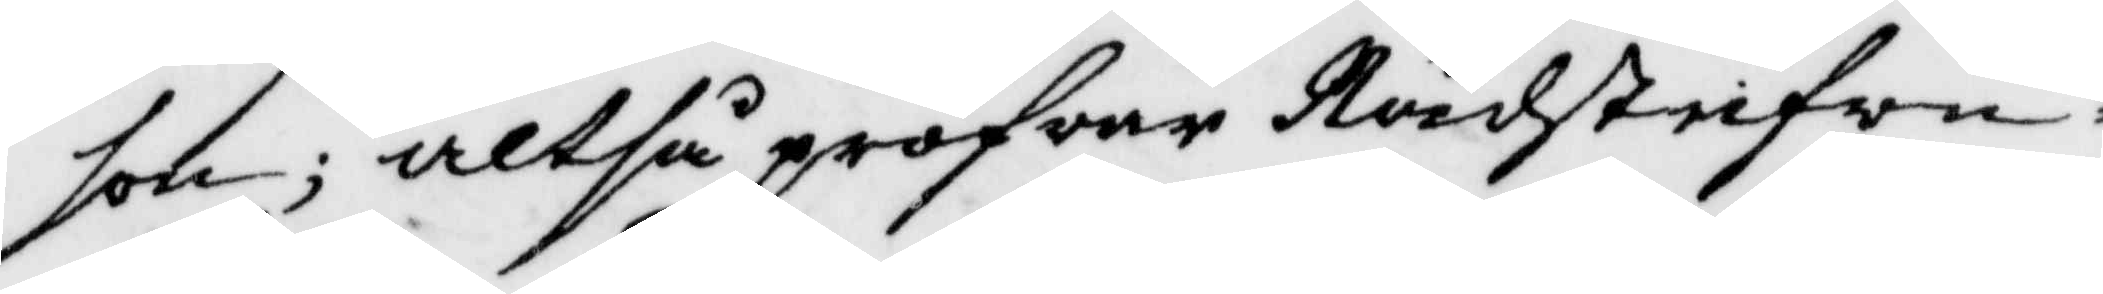son; altså pröfvar Rådstufvu¬
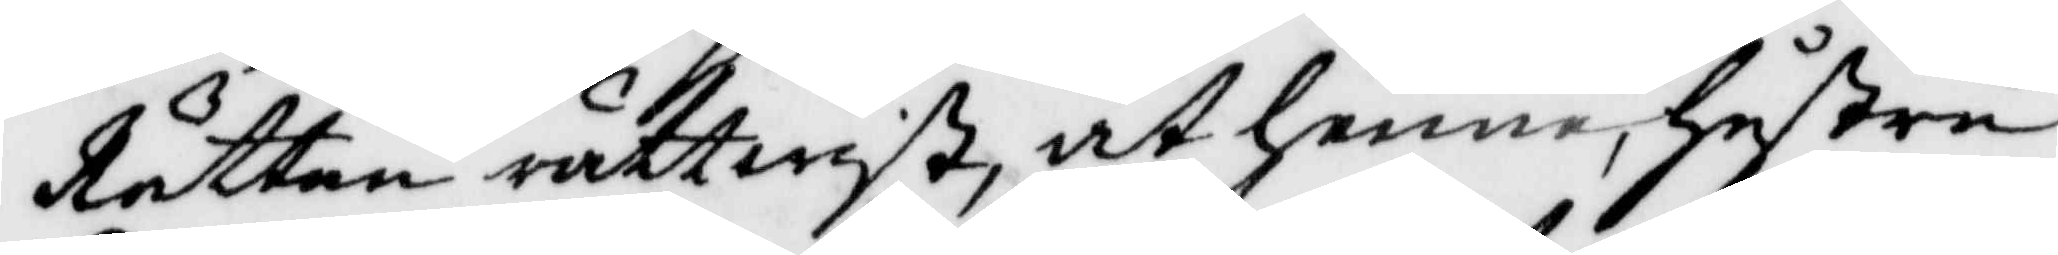Rätten rättwist, at henne, hustru
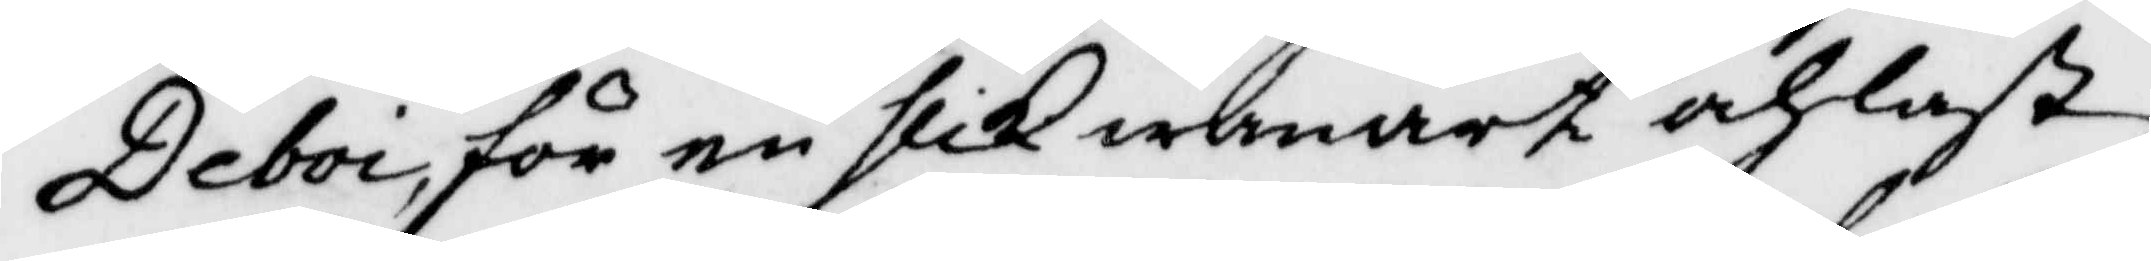Deboi för en slik wanart och last
